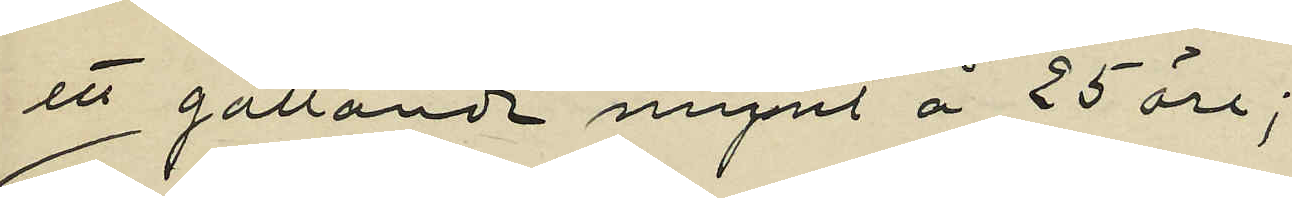ett gällande mynt å 25 öre;
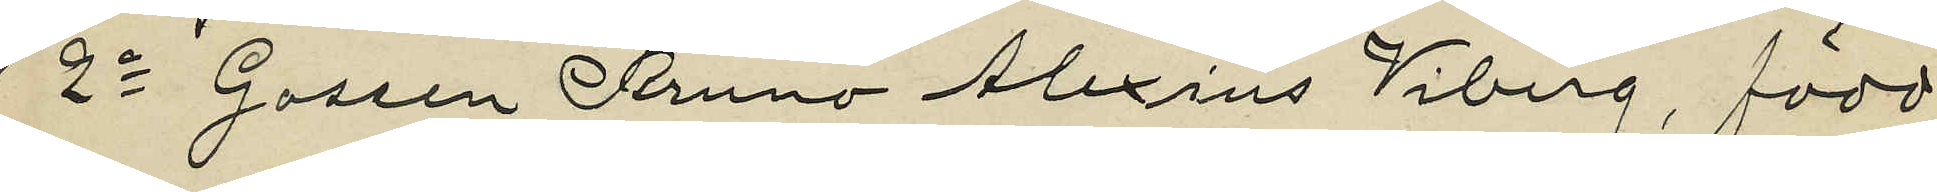2o Gossen Bruno Alexius Viberg, född
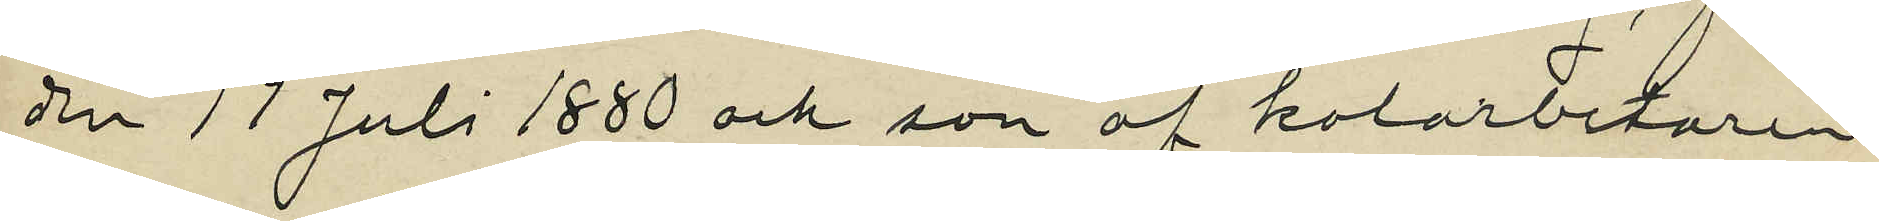den 17 Juli 1880 och son af kolarbetaren
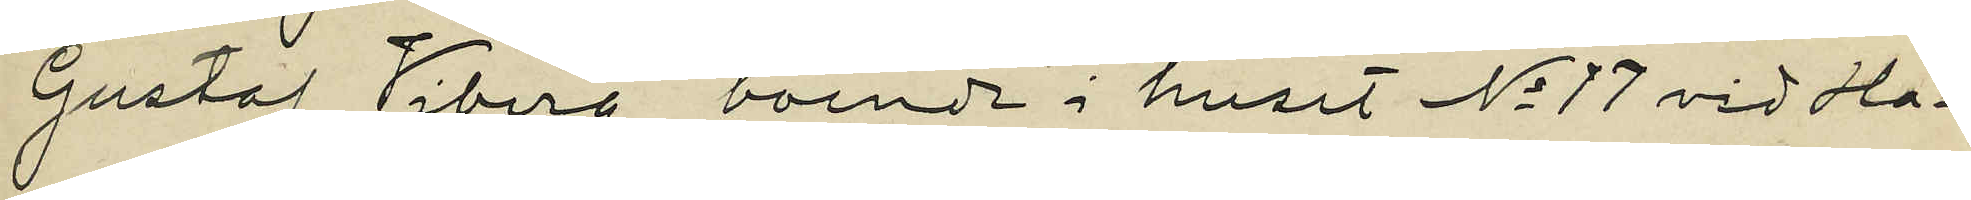Gustaf Viberg, boende i huset No 17 vid Ha¬
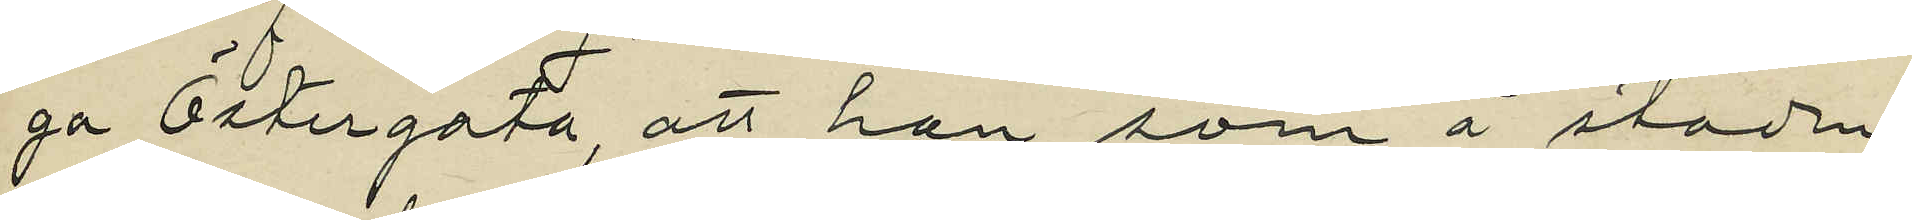ga Östergata, att han som å stadens
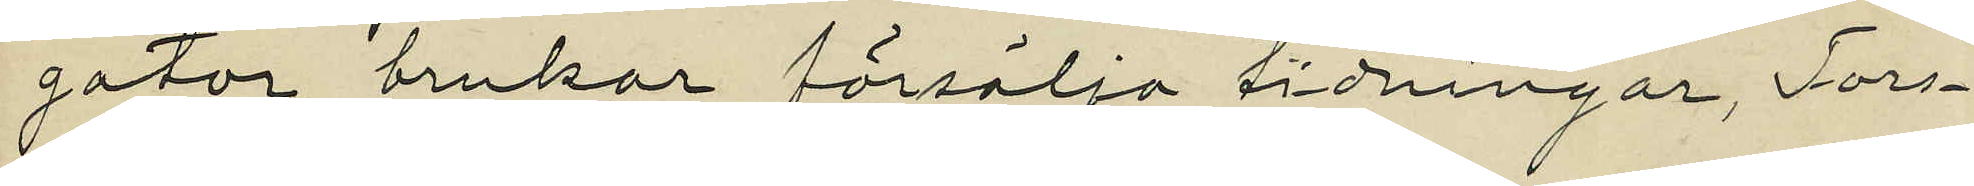gator brukar försälja tidningar, Tors¬
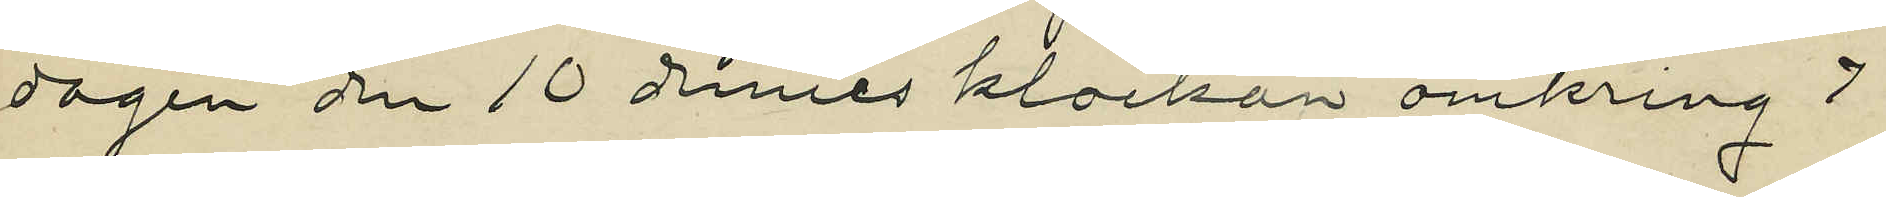dagen den 10 dennes klockan omkring 7
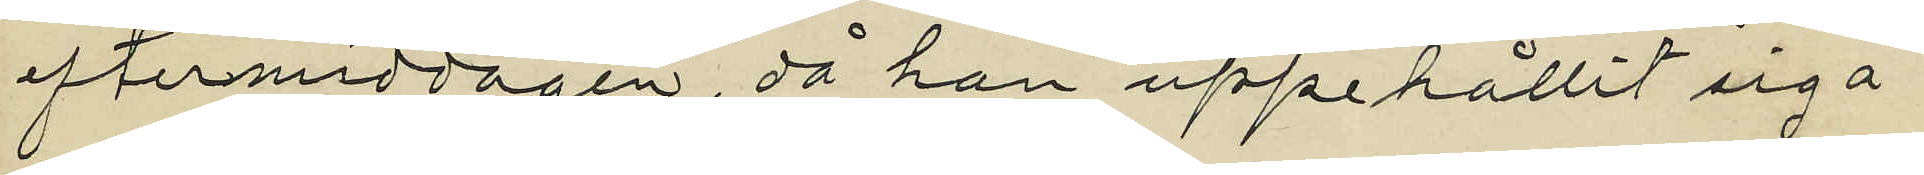eftermiddagen, då han uppehållit sig å
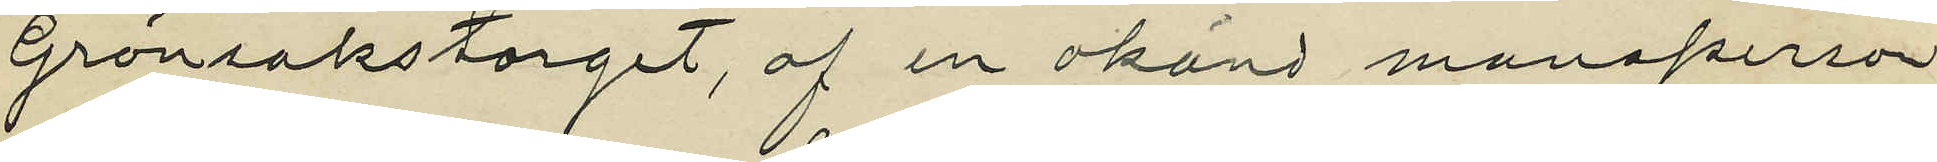Grönsakstorget, af en okänd mansperson
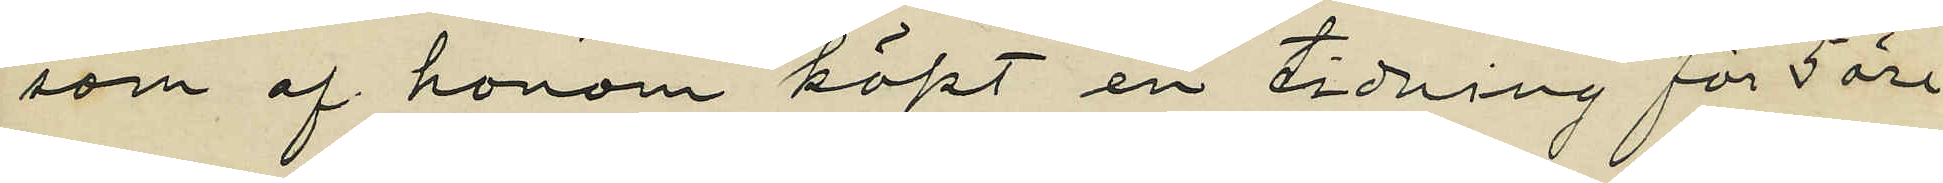som af honom köpt en tidning för 5 öre
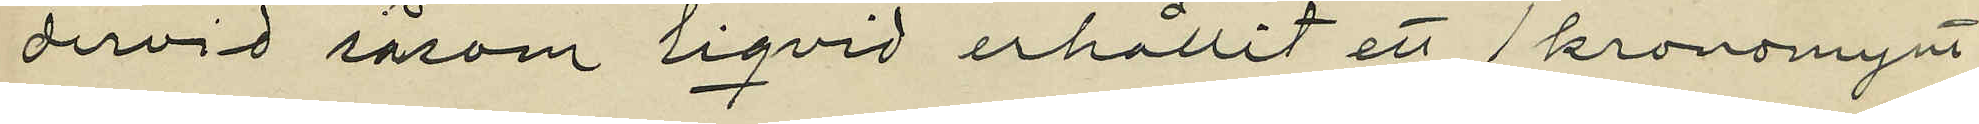dervid såsom liqvid erhållit ett 1 kronomynt
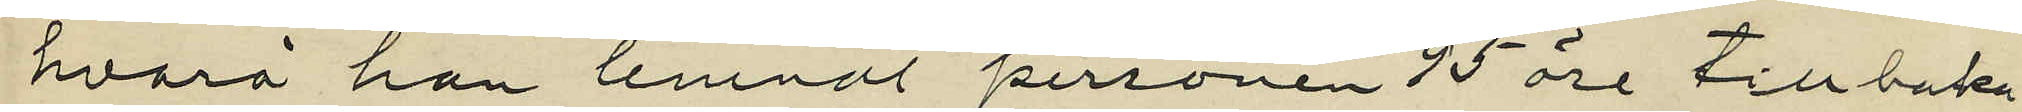hvarå han lemnat personen 95 öre tillbaka
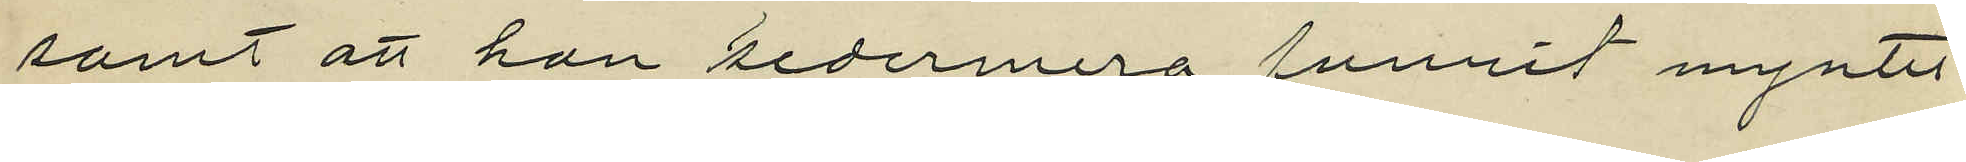samt att han sedermera funnit myntet
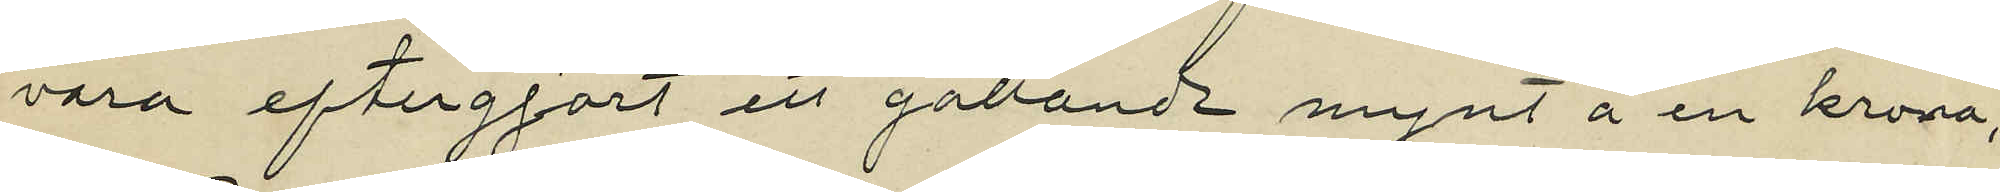vara eftergjort ett gällande mynt å en krona;
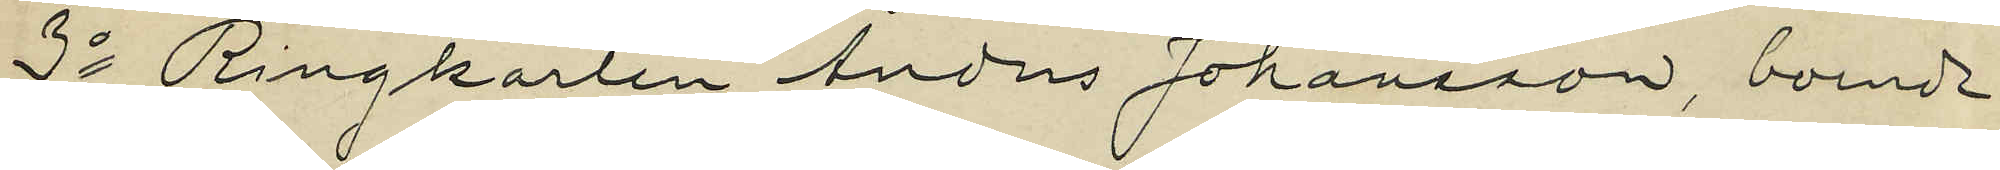3o Ringkarlen Anders Johansson, boende
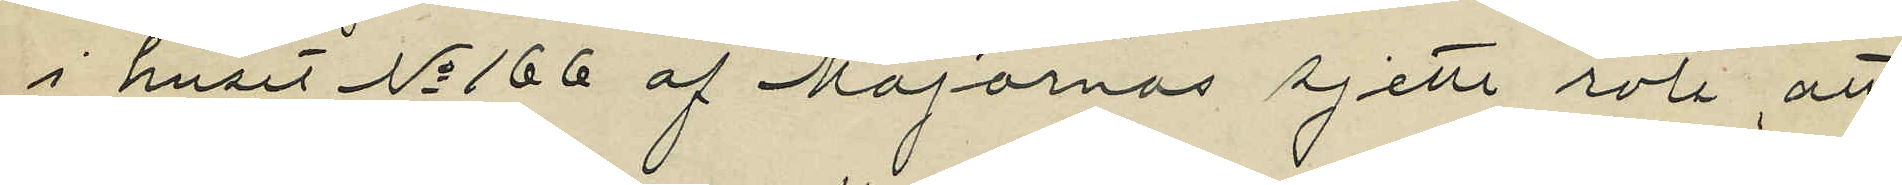i huset No 166 af Majornas sjette rote, att
